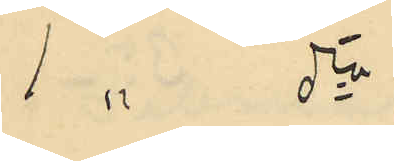1 " do
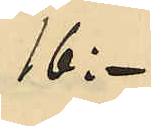16:-
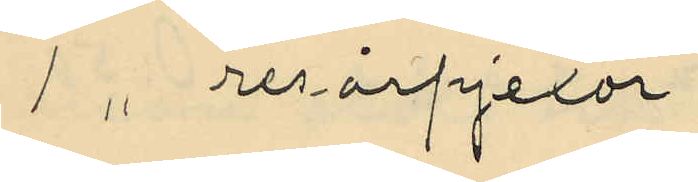1 " resårpjexor
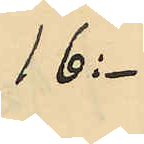16:-
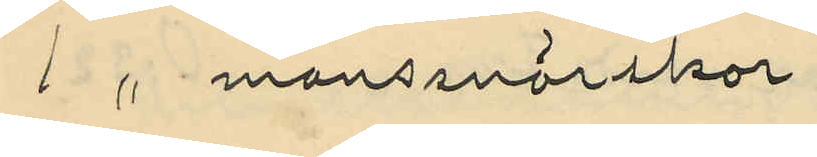1 " manssnörskor
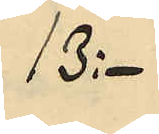13:-
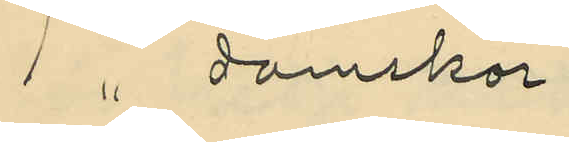1 " damskor
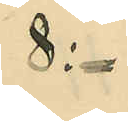8:-
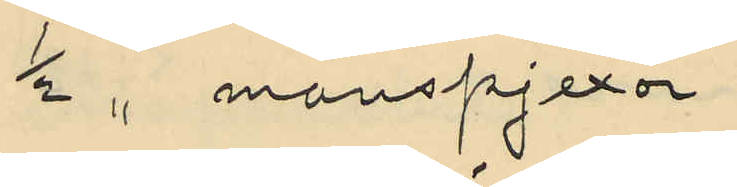1/2 " manspjexor
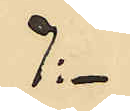7:-
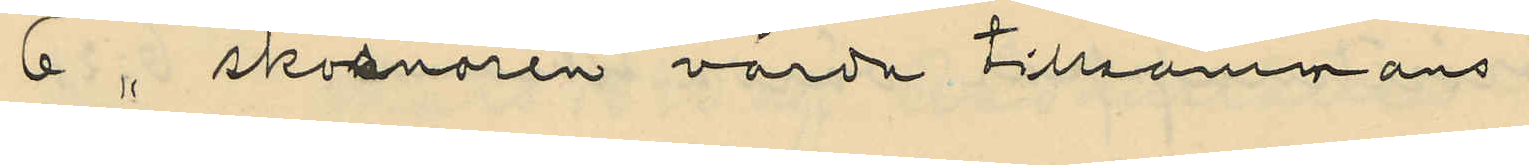6 " skosnören värda tillsammans
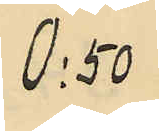0:50
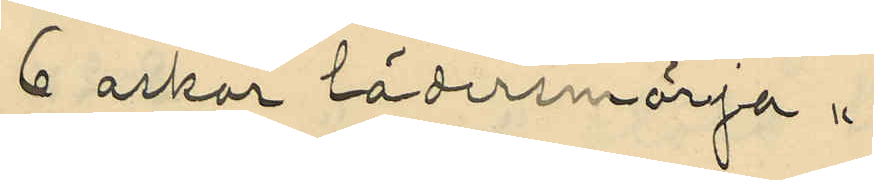6 askar lädersmörja "
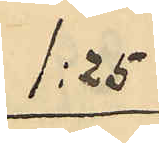1:25
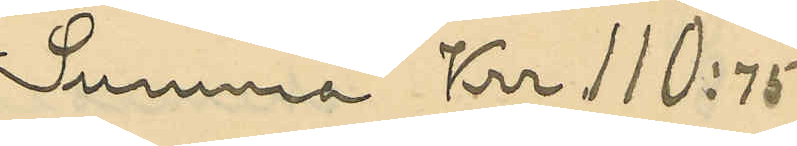Summa Krr 110:75
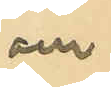och
